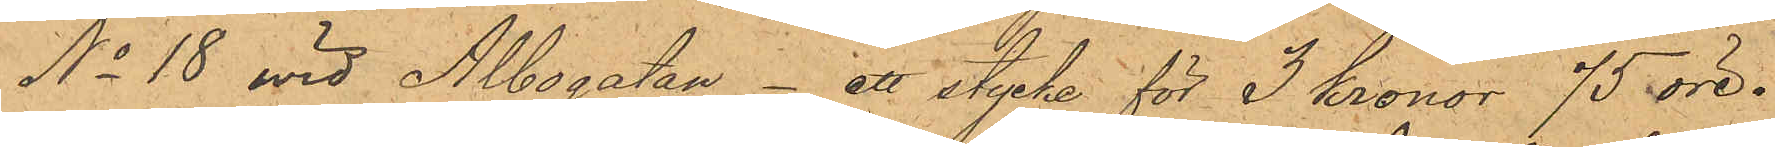No 18 wid Albogatan- ett stycke för 3 kronor 75 öre.
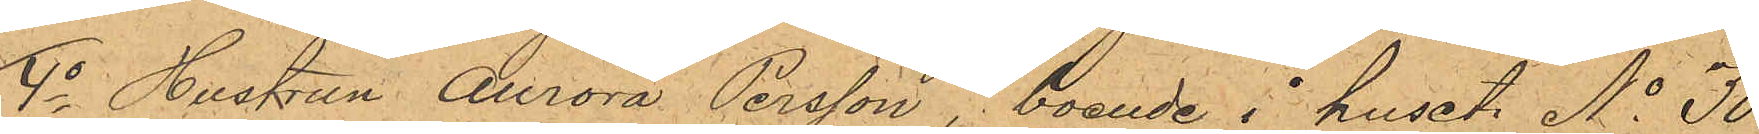4o Hustrun Aurora Persson, boende i huset No 30
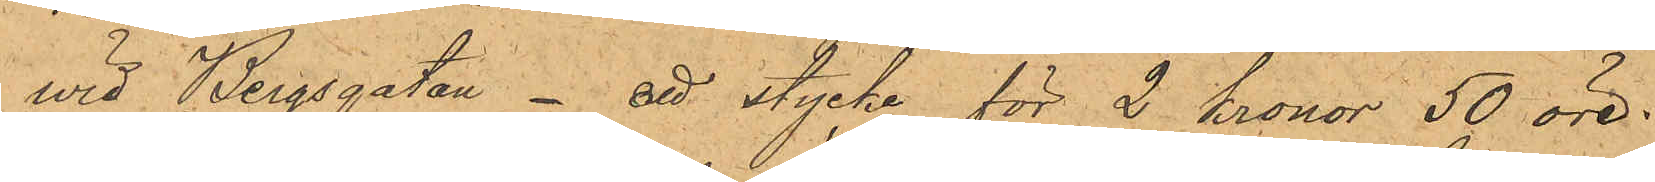wid Bergsgatan- ett stycke för 2 Kronor 50 öre.
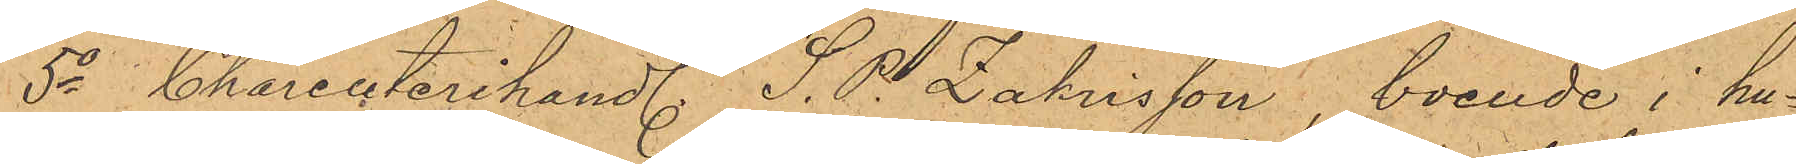5o Charcuterihandl. S. P. Zakrisson, boende i hu¬
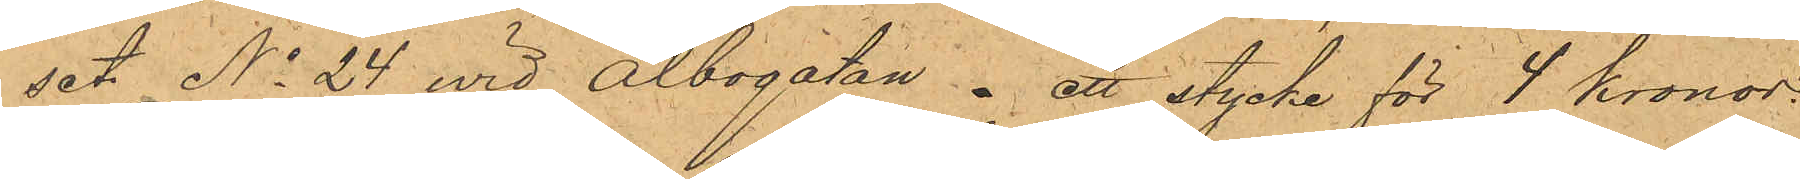set No 24 vid Albogatan - ett stycke för 4 kronor.
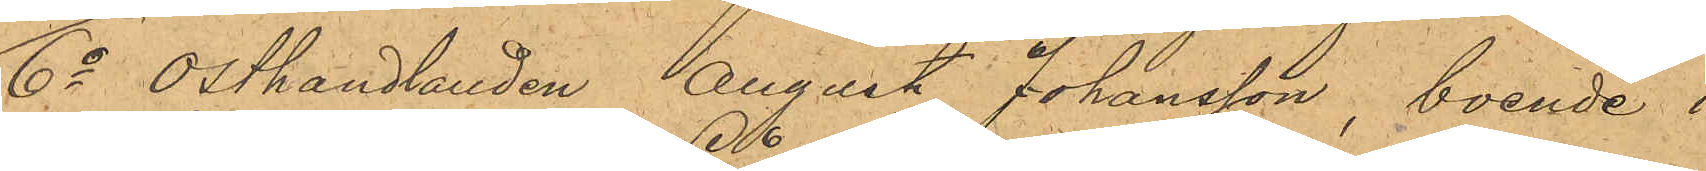6o Osthandlanden August Johansson, boende i
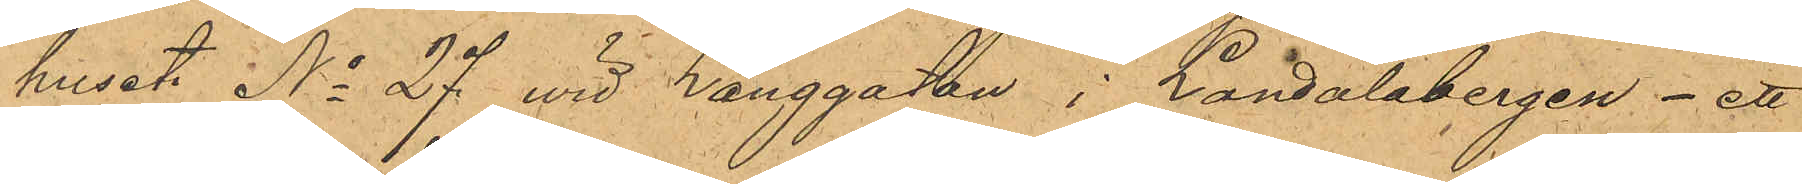huset No 27 vid Långgatan i Landalabergen - ett
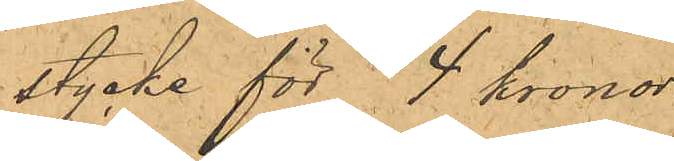stycke för 4 kronor.
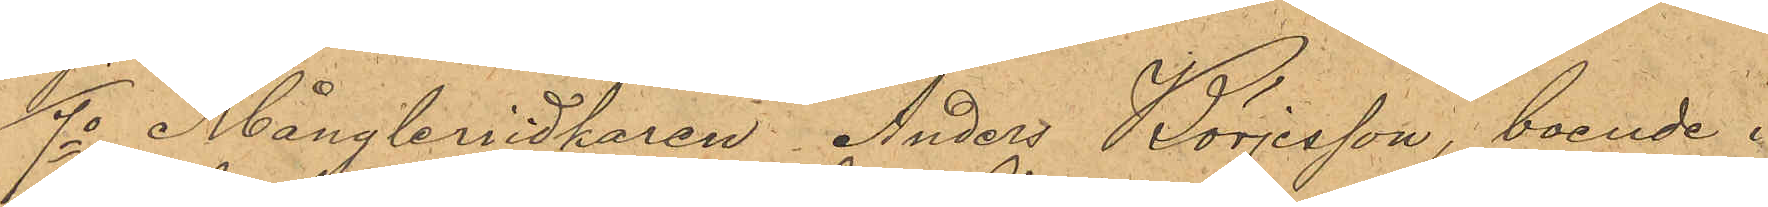7o Mångleriidkaren Anders Börjesson, boende i
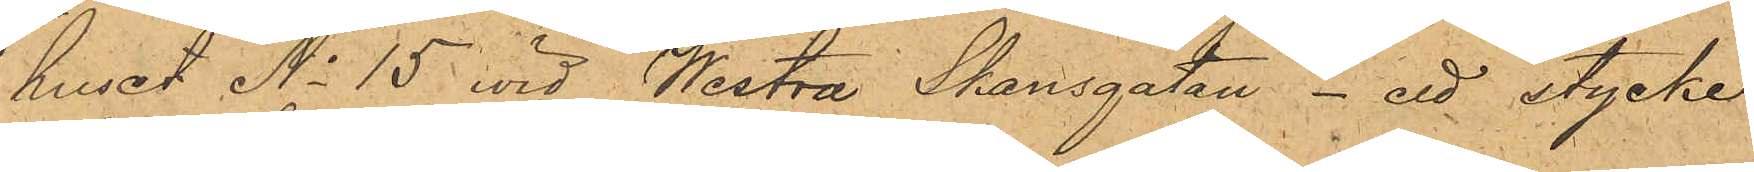i huset No 15 vid Westra Skansgatan - ett stycke
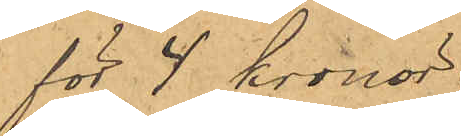för 4 kronor.
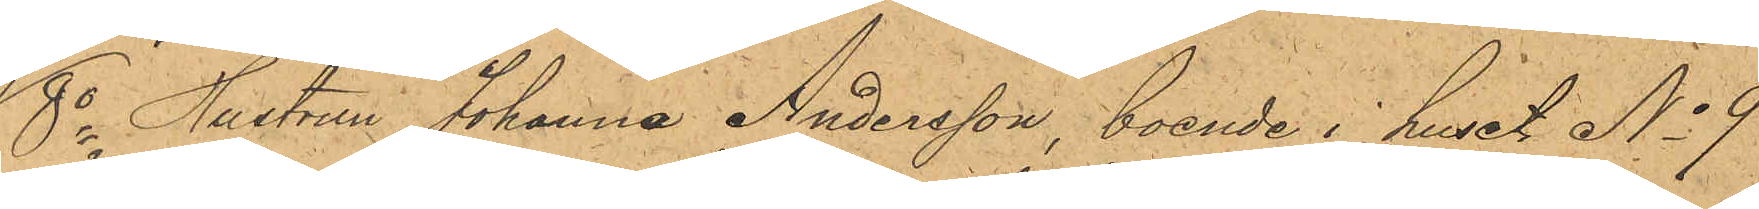8o Hustrun Johanna Andersson, boende i huset No 9
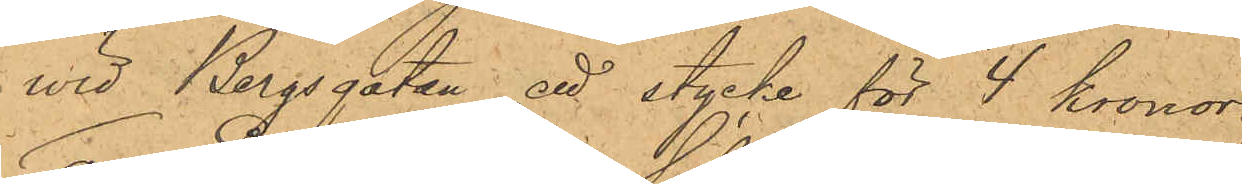wid Bergsgatan: att stycke för 4 kronor.
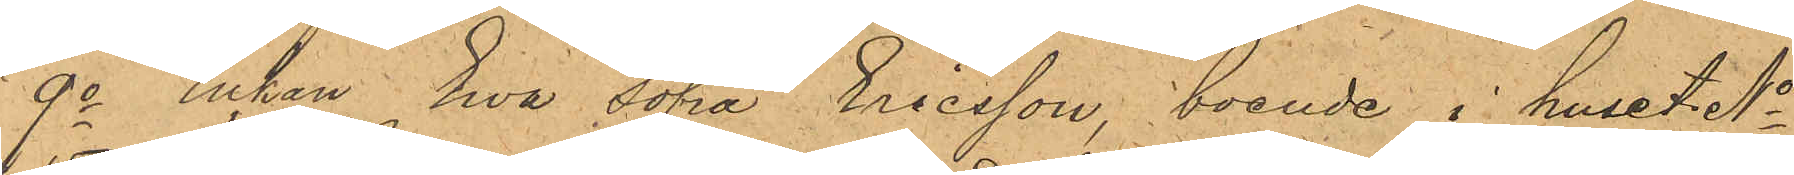9o Enkan Eva Sofia Ericsson, boende i huset No
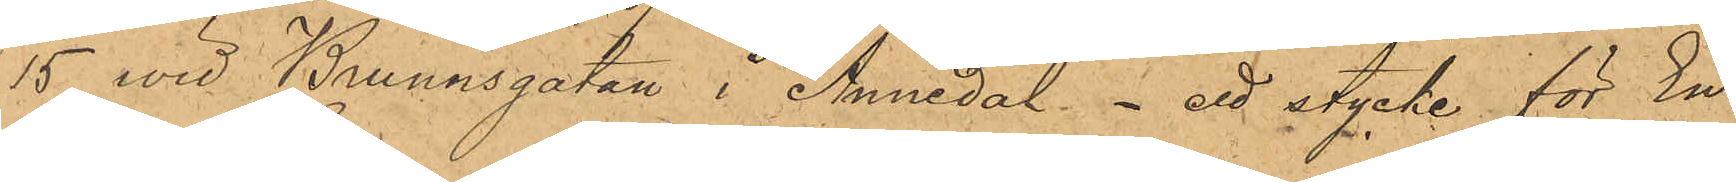15 wid Brunnsgatan i Annedal - ett stycke för En
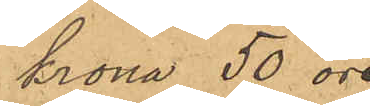krona 50 öre
